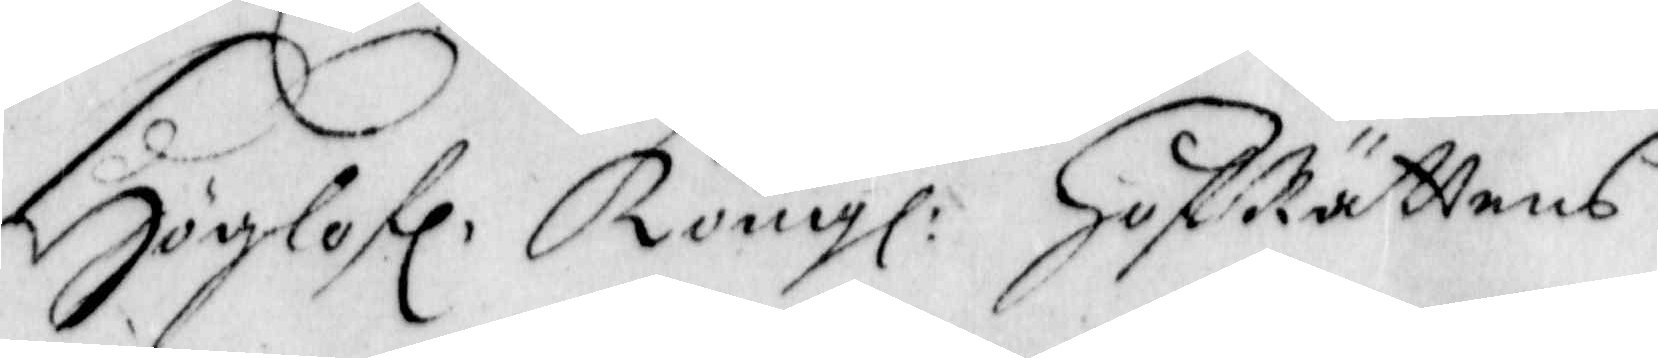Höglofl. Kongl: HofRättens
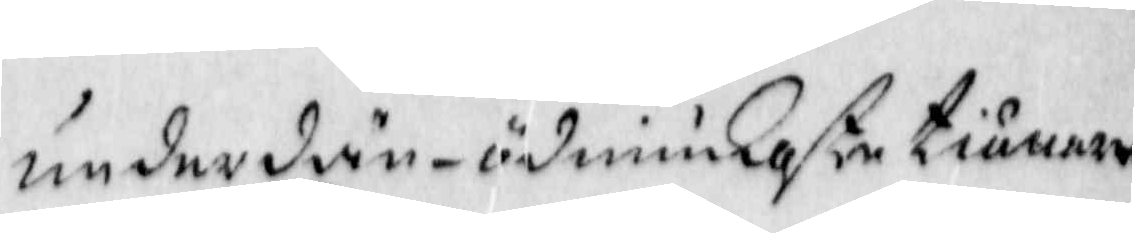underdån-ödmiukaste tiänare
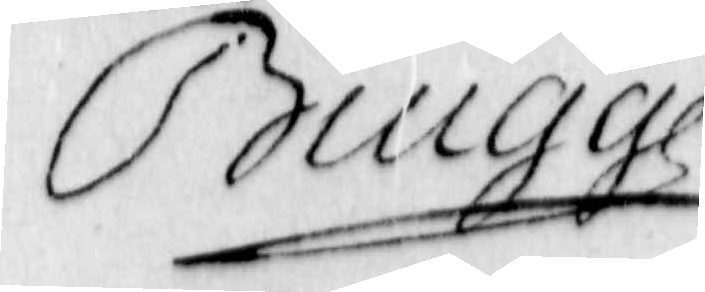Biugge
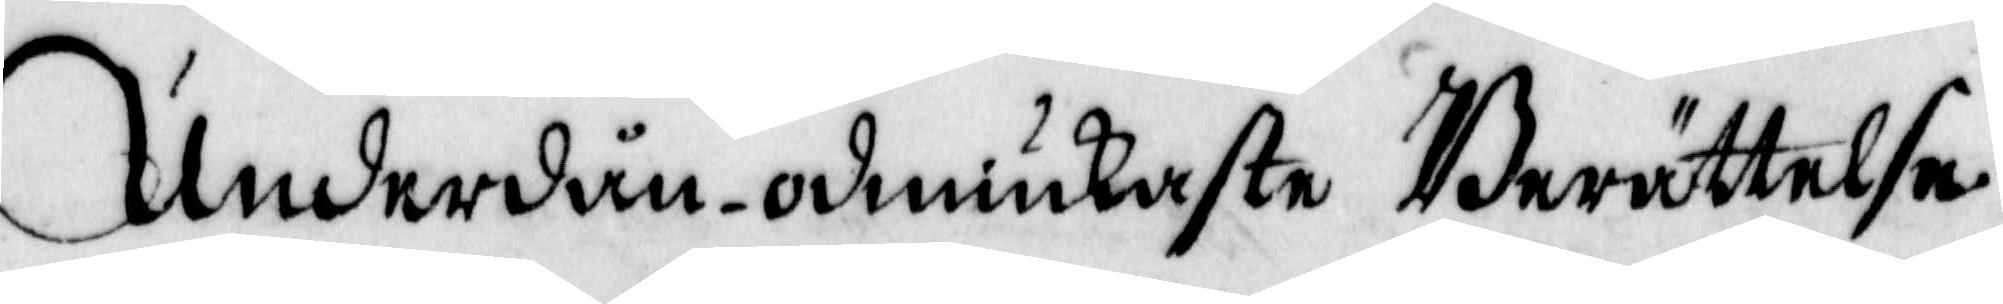Underdån-ödmiukaste Berättelse
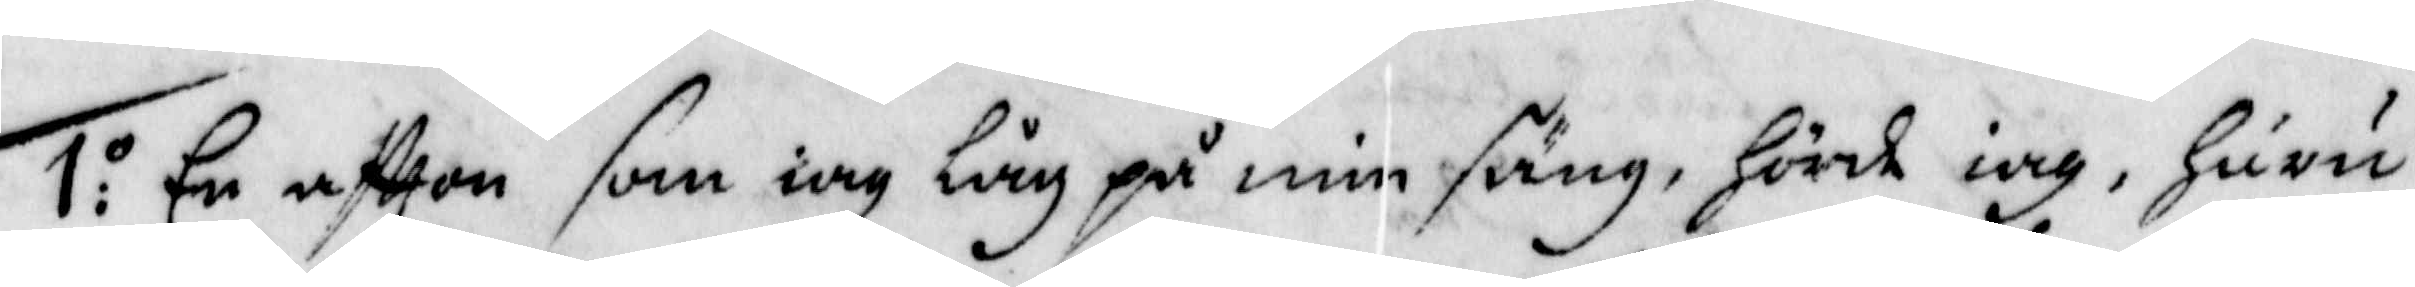1:o En aftten som iag låg på min säng, Hörde iag, Huru
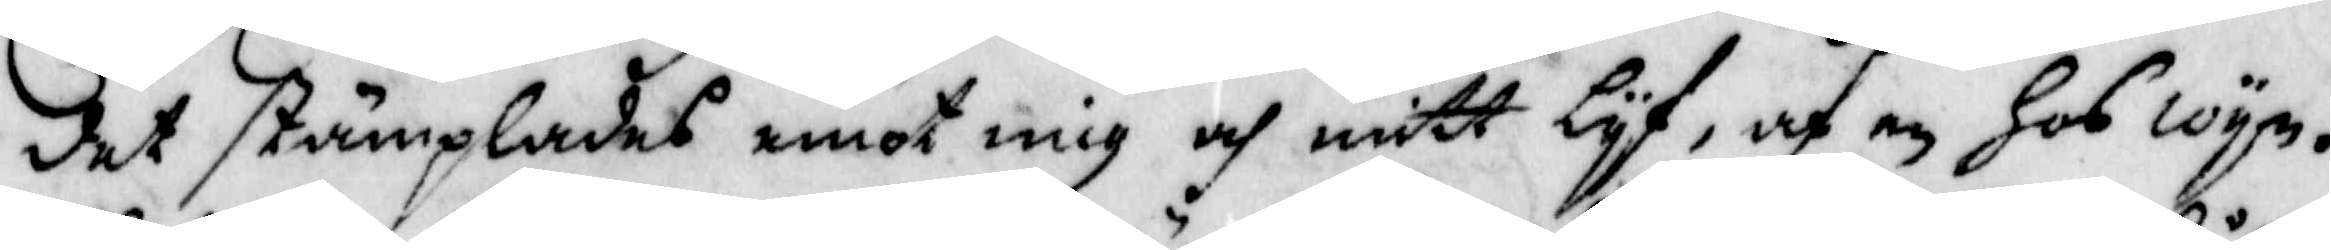det stämplades emot mig och mitt lyf, af en Hos wyn¬
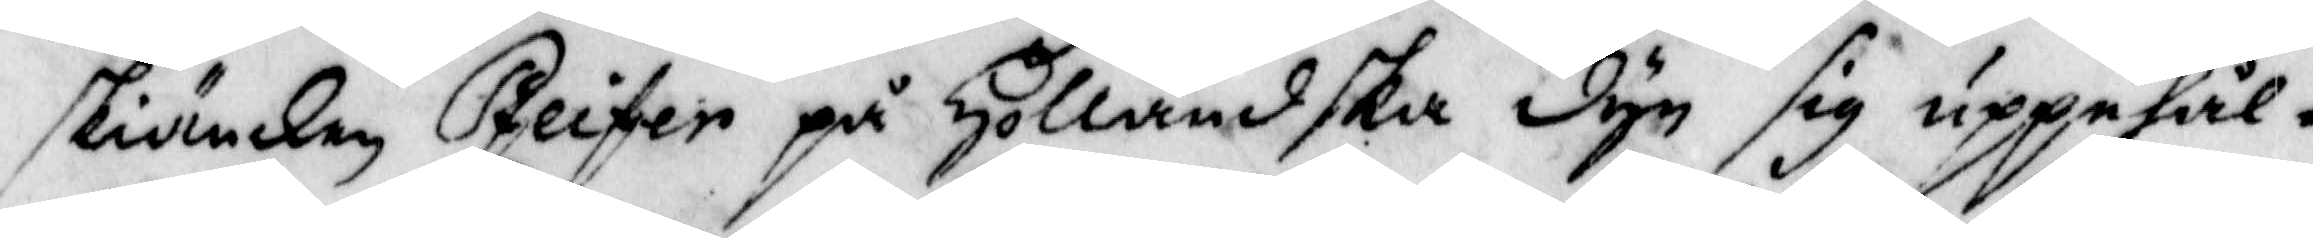skiänken Pfeifer på Holländska dyn sig uppehål¬
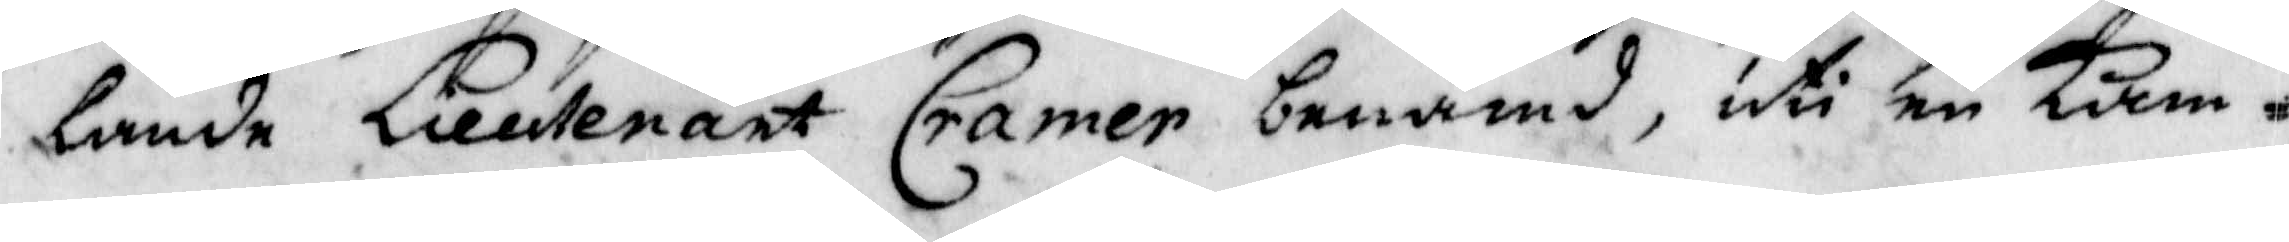lande Lieutenant Cramer benämd, uti en Kam¬
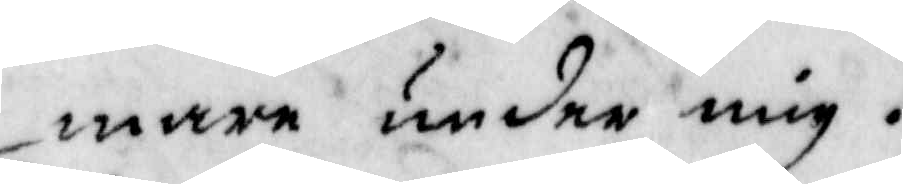mare under mig.
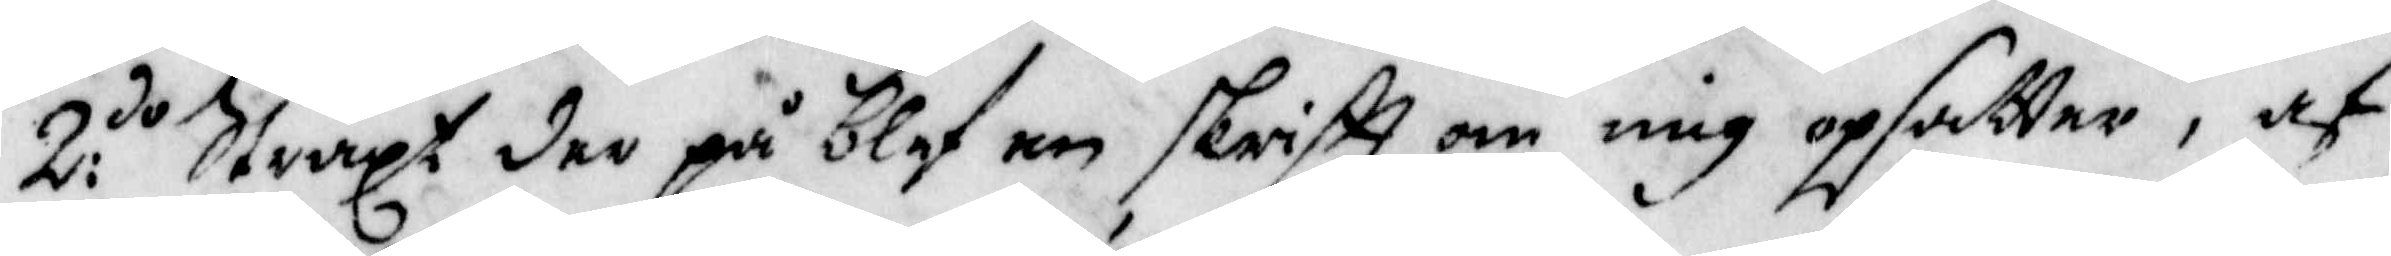2:do Straxt der på blef en skriftt om mig opsatter, af
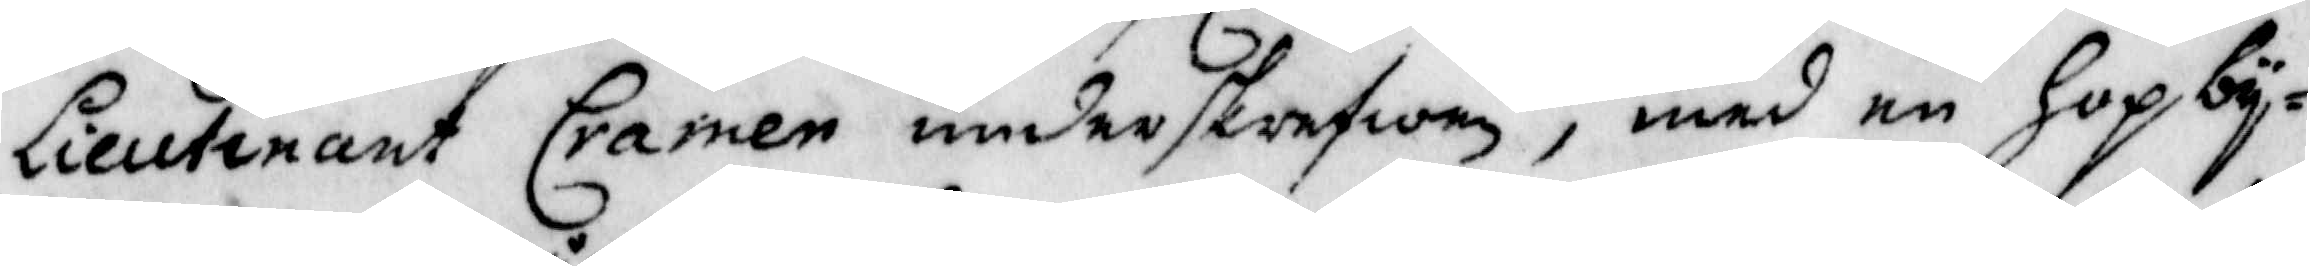Lieutenant Carmer underskrefwen, med en Hop by¬
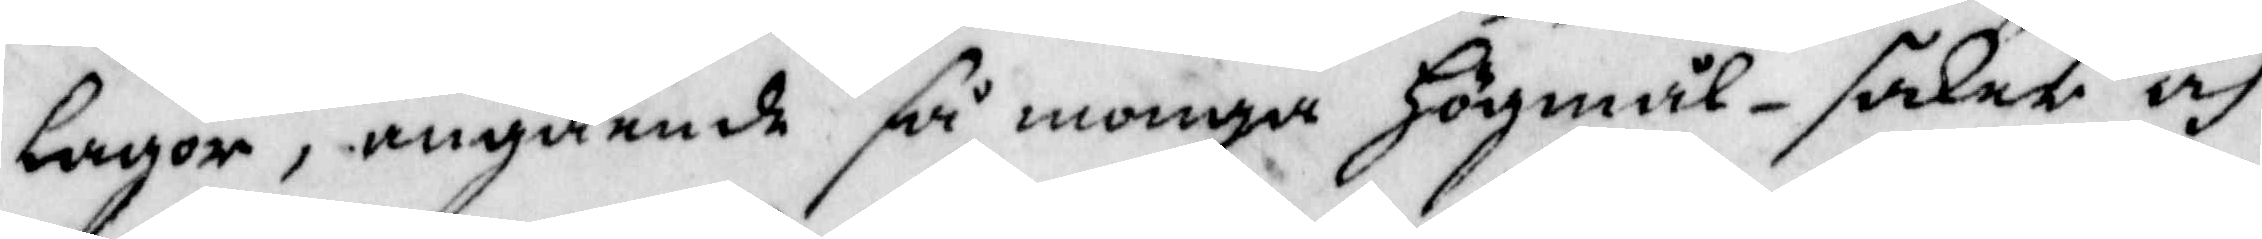lagor, angående så monga Högmål.saker och
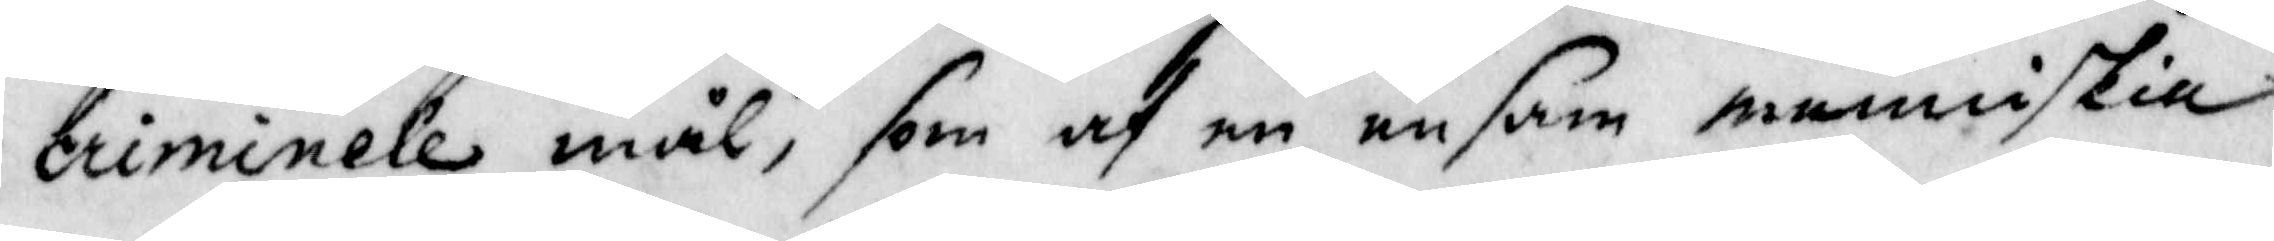criminele mål, som af en ensam menniskia
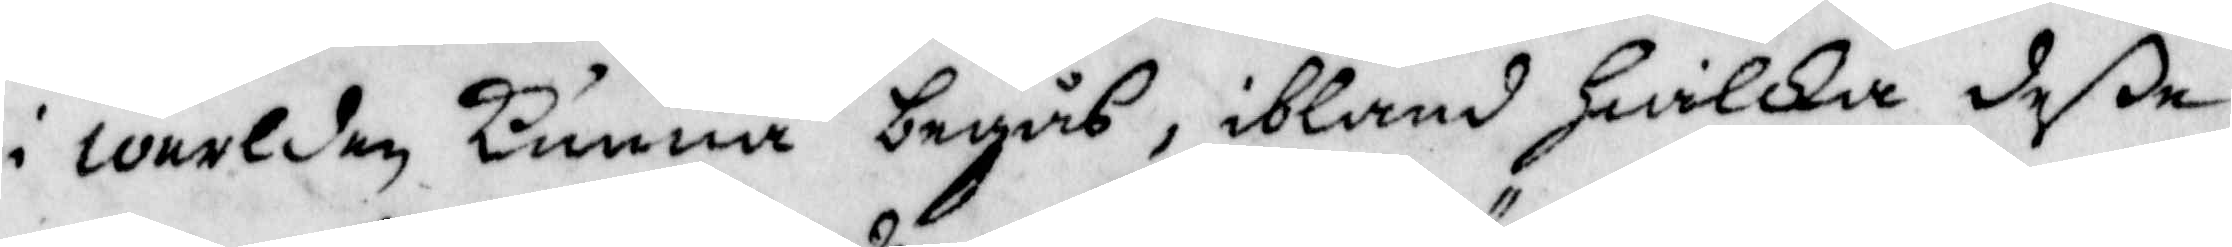i werlden Kunna begås, ibland Hwilka deße
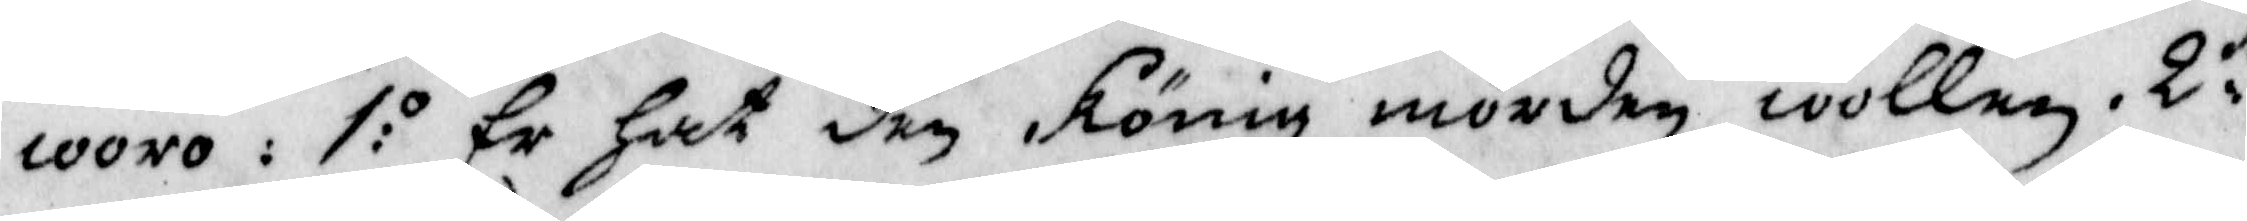woro: 1:o Er Hat den König mörden wollen. 2:do
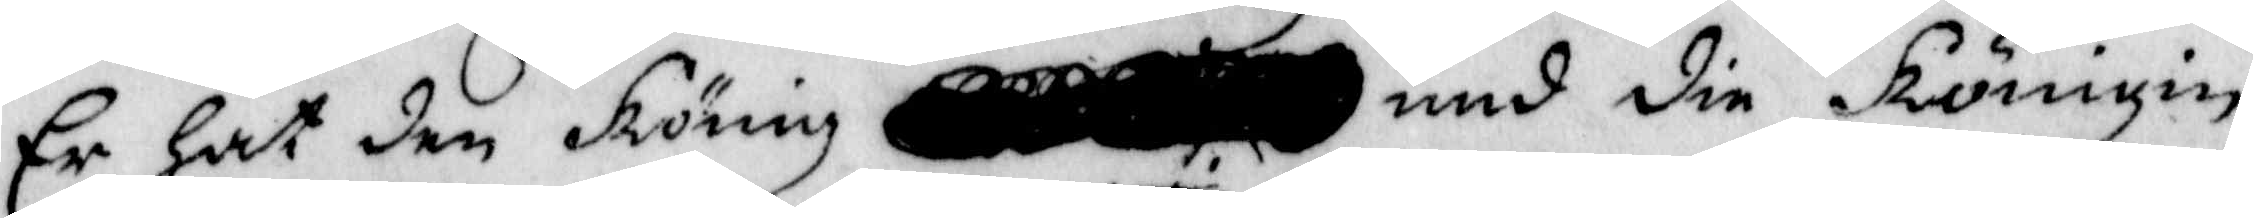er hat den König und din Königin
